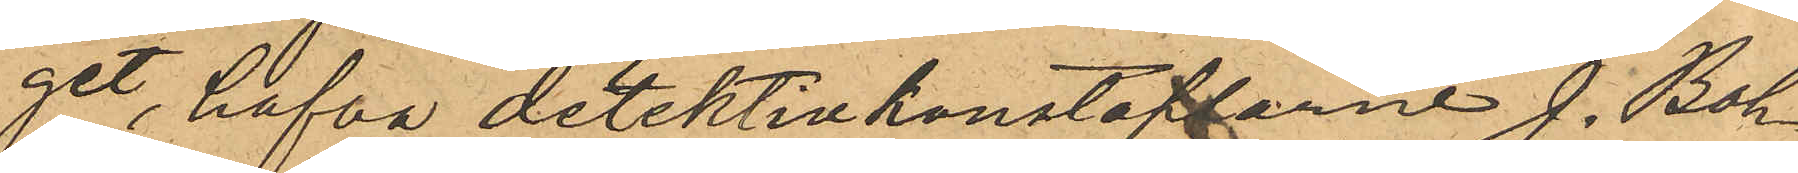get, hafva detektivkonstaplarne J. Boh¬
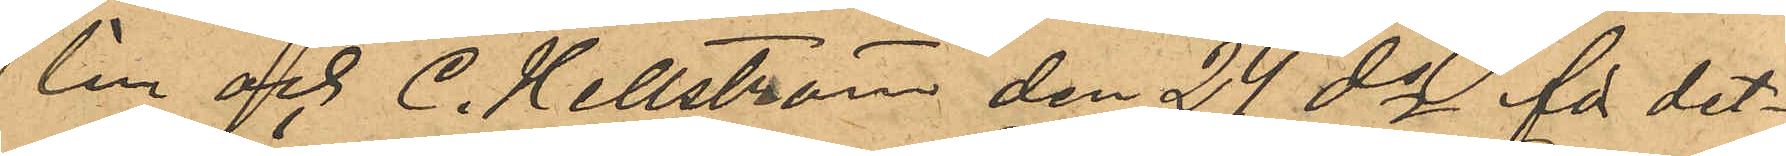lin och C. Hellström den 24 ds för det¬
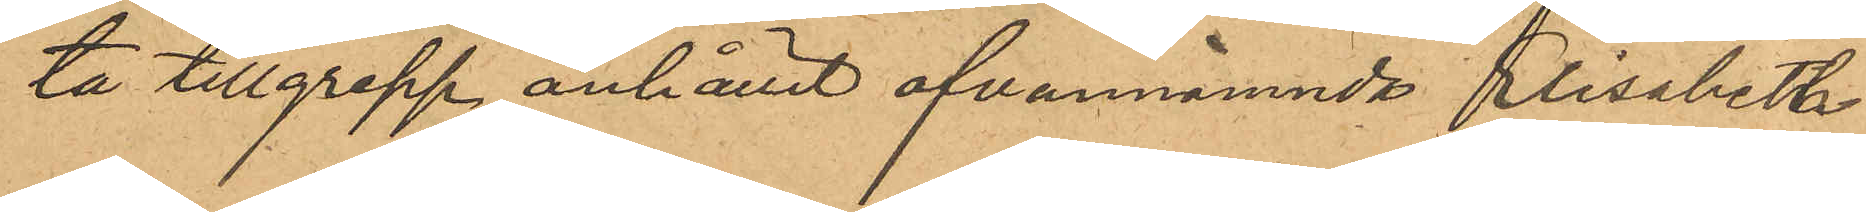ta tillgrepp anhållit ofvannämnda Elisabeth
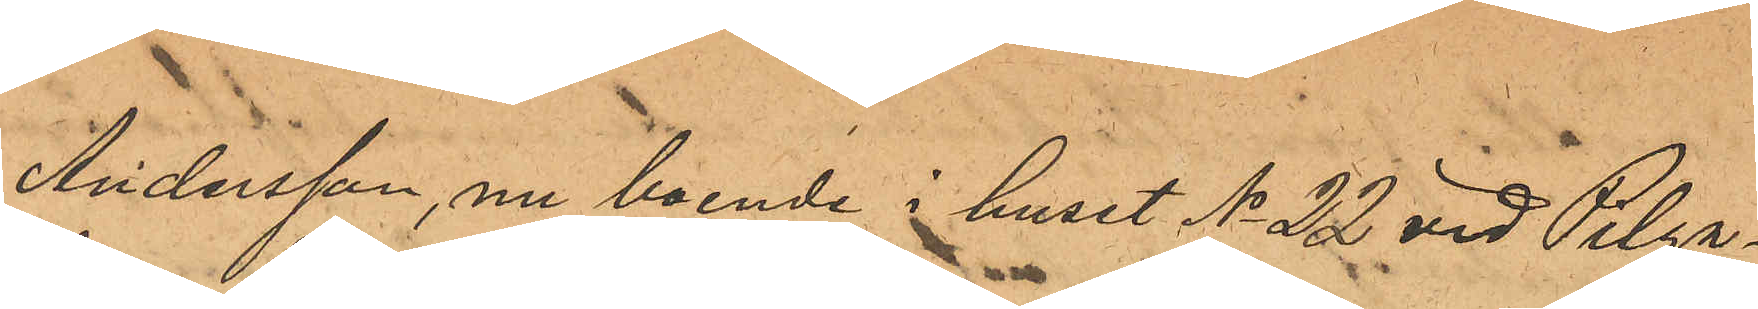Andersson, nu boende i huset No 22 vid Pilga¬
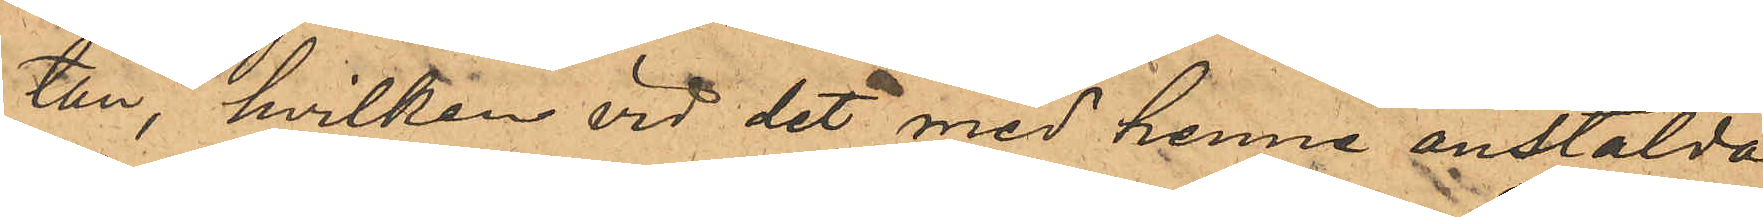tan, hvilken vid det med henne anstälda
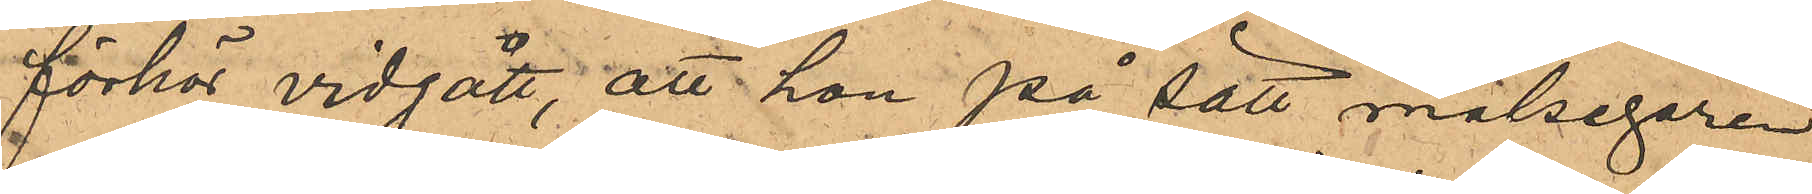förhör vidgått, att hon på sätt målsegaren
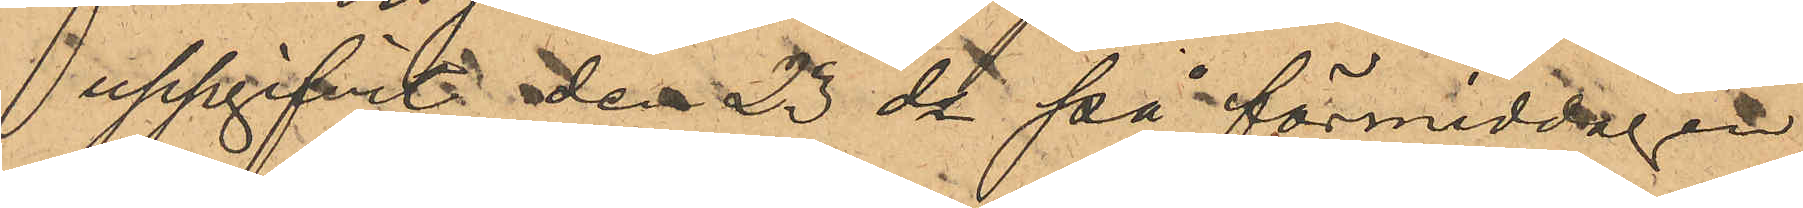uppgifvit den 23 ds på förmiddagen
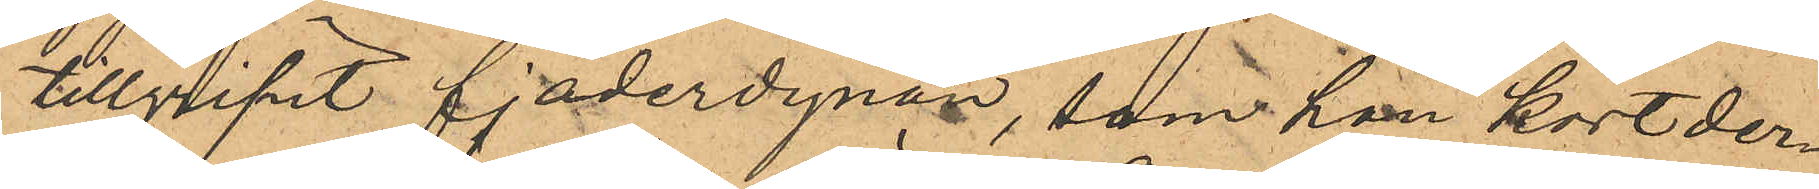tillgripit fjäderdynan, som hon kort der¬
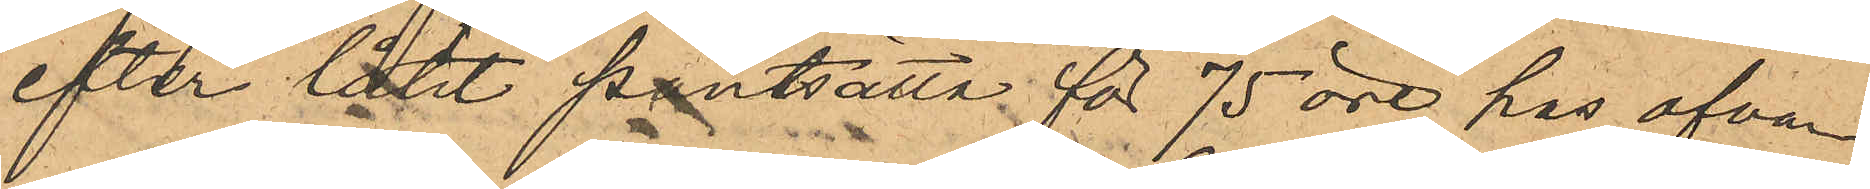efter låtit pantsätta för 75 öre hos ofvan
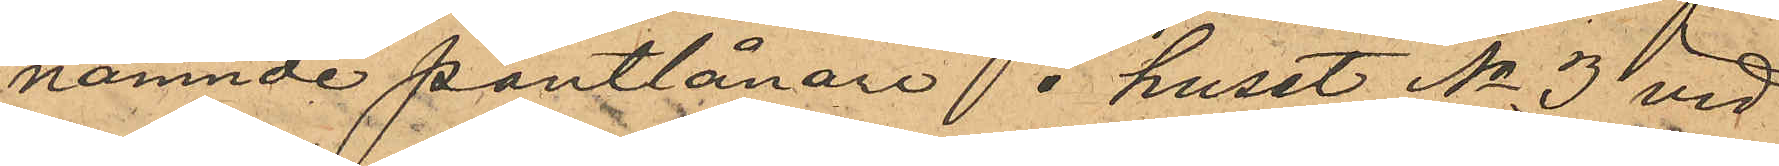nämnde pantlånare i huset No 3 vid
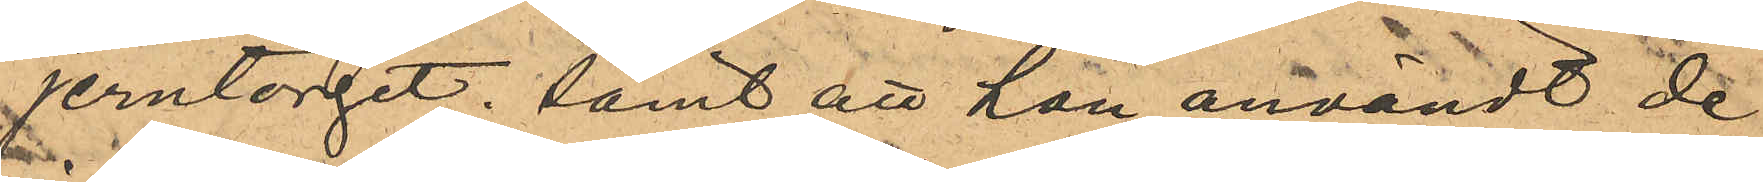Jerntorget; samt att hon användt de
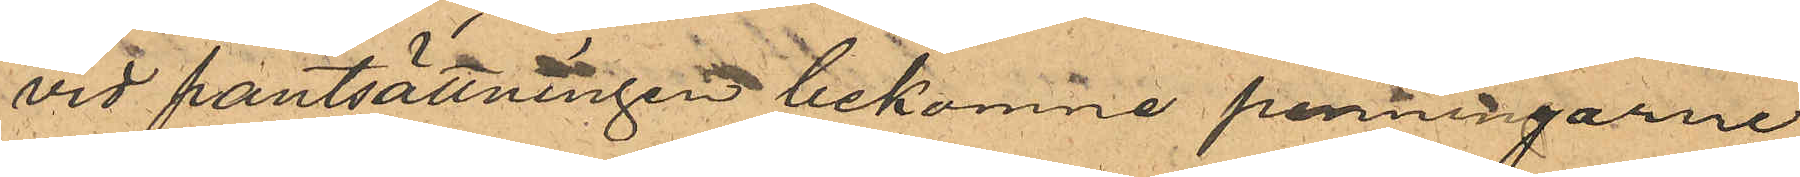vid pantsättningen bekomne penningarne
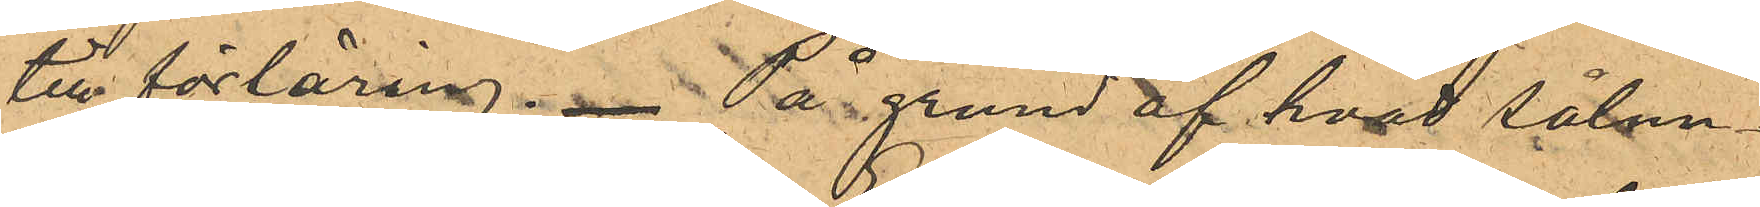till förtäring. På grund af hvad sålun¬
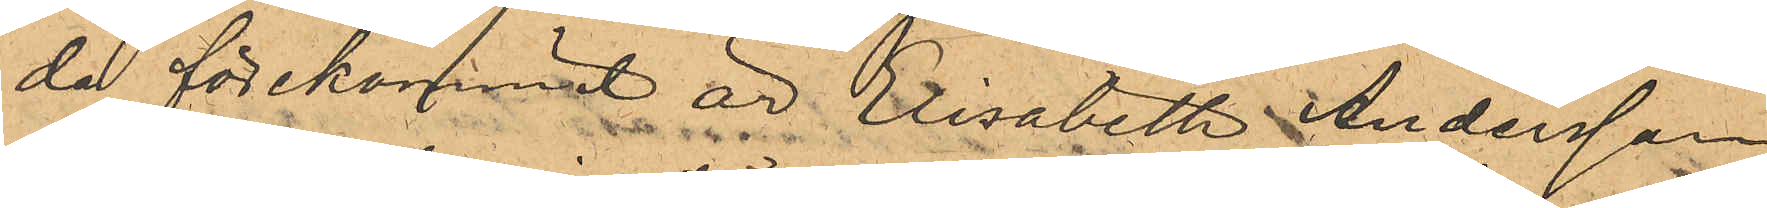da förekommit är Elisabeth Andersson
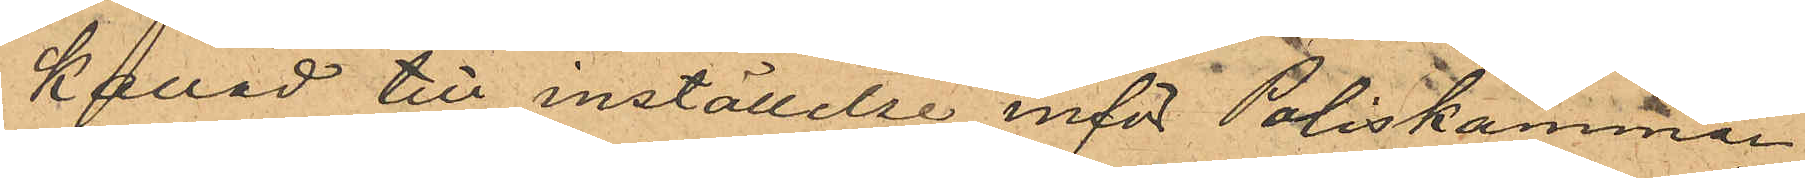kallad till inställelse inför Poliskammar¬
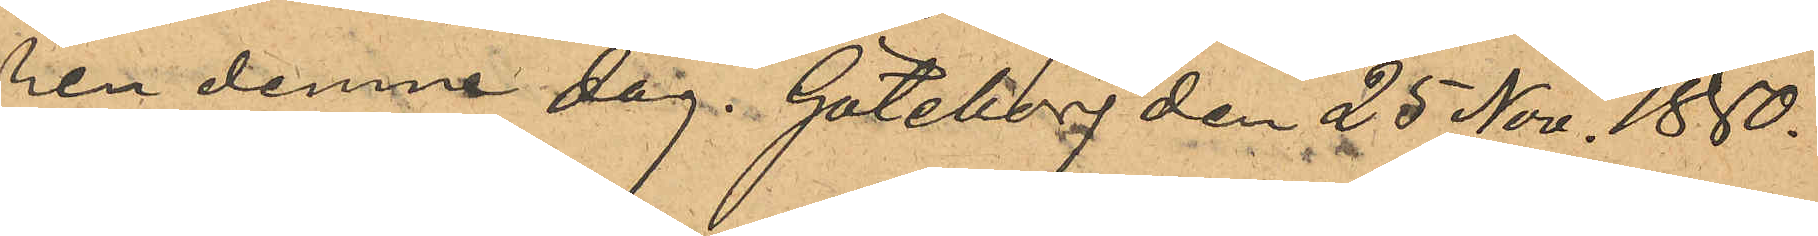ren denna dag. Göteborg den 25 Nov. 1880.
